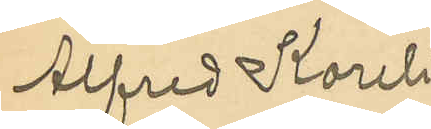Alfred Koreli¬
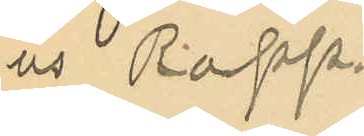us Rapp.
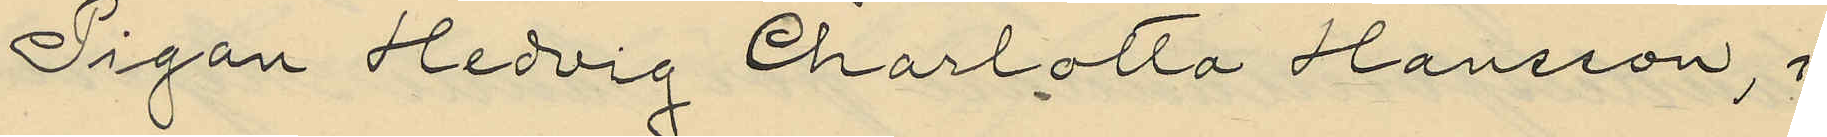Pigan Hedvig Charlotta Hansson, i
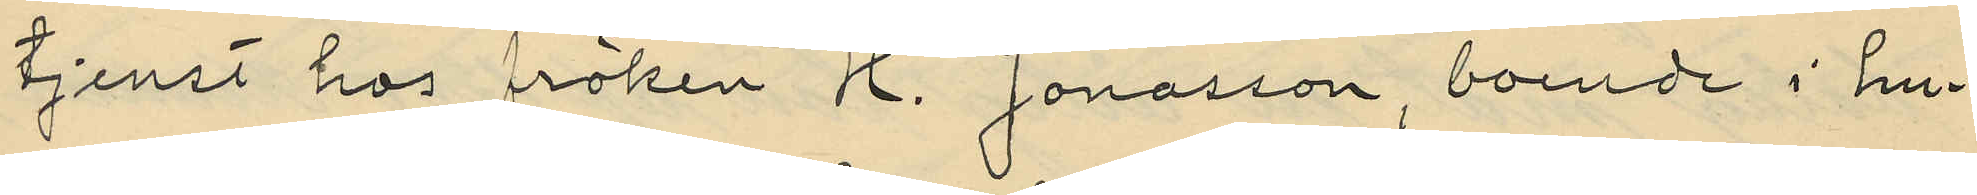tjenst hos fröken H. Jonasson, boende i hu¬
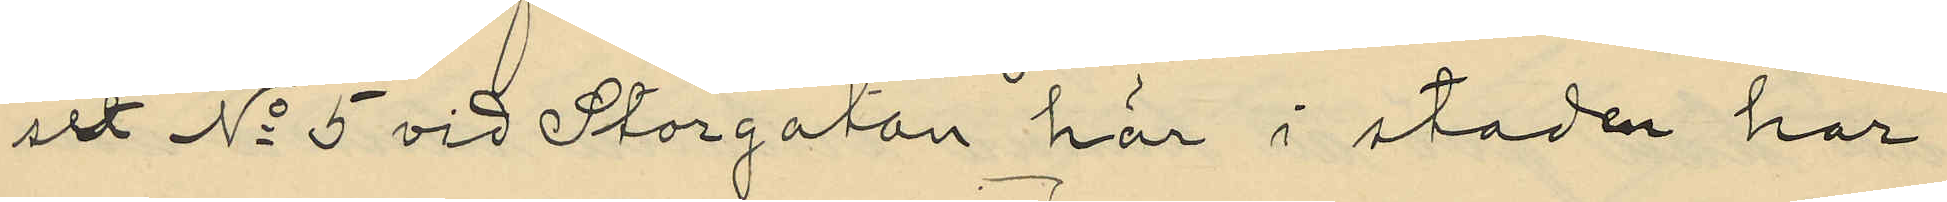set No 5 vid Storgatan här i staden har
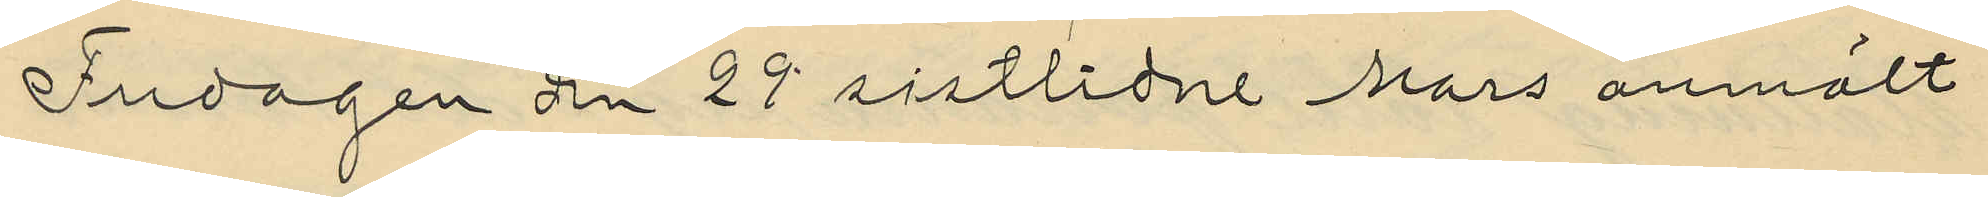Fredagen den 29 sistlidne Mars anmält
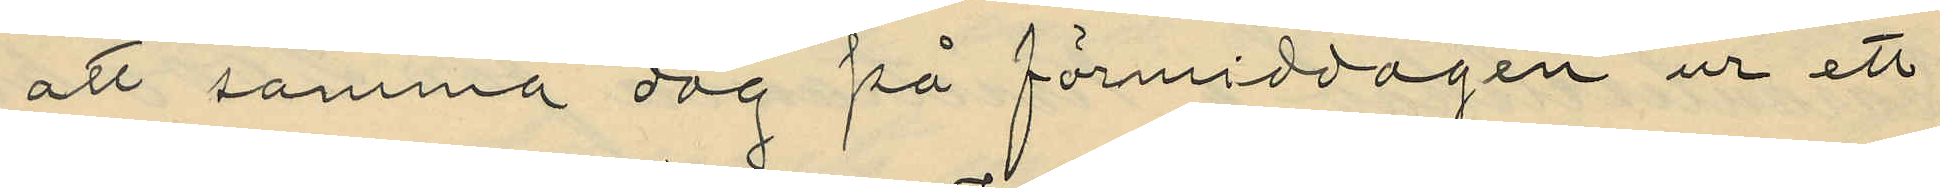att samma dag på förmiddagen ur ett
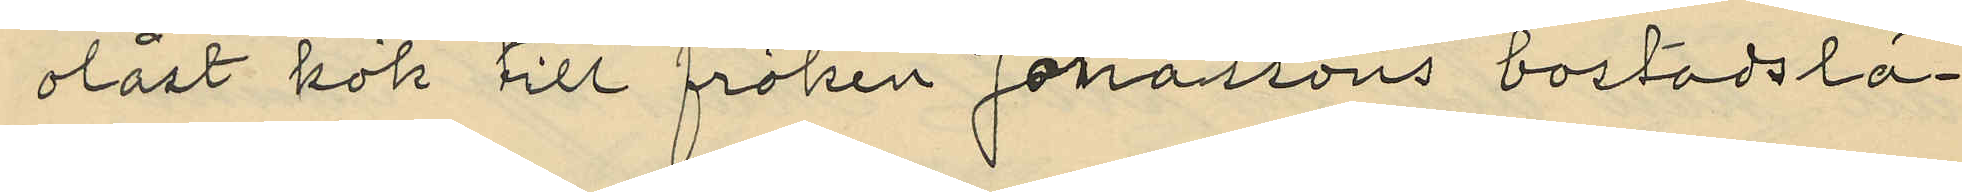olåst kök till fröken Jonassons bostadslä¬
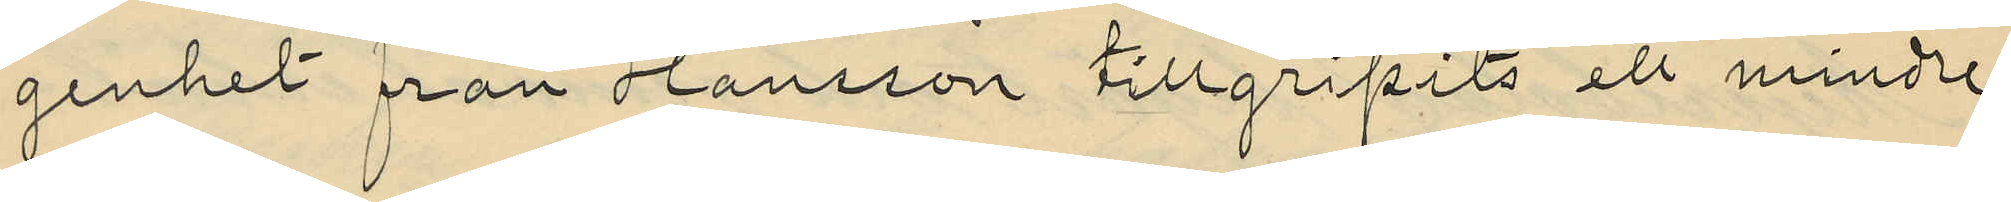genhet från Hansson tillgripits ett mindre
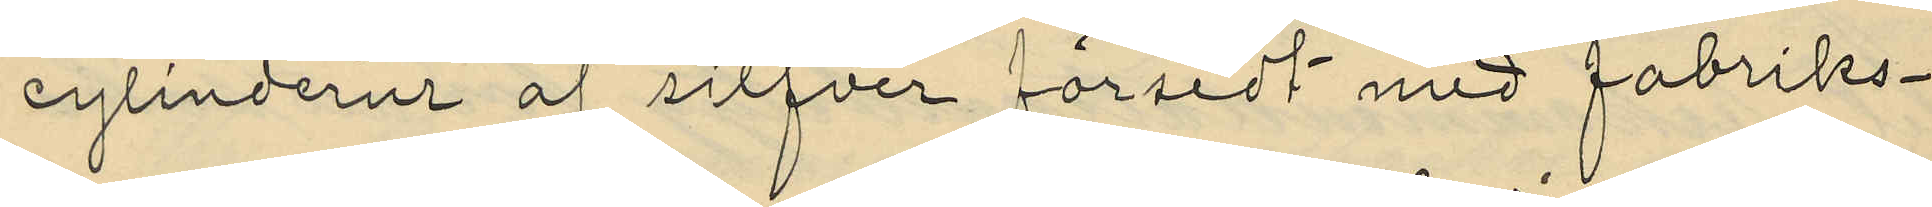cylinderur af silfver försedt med fabriks¬
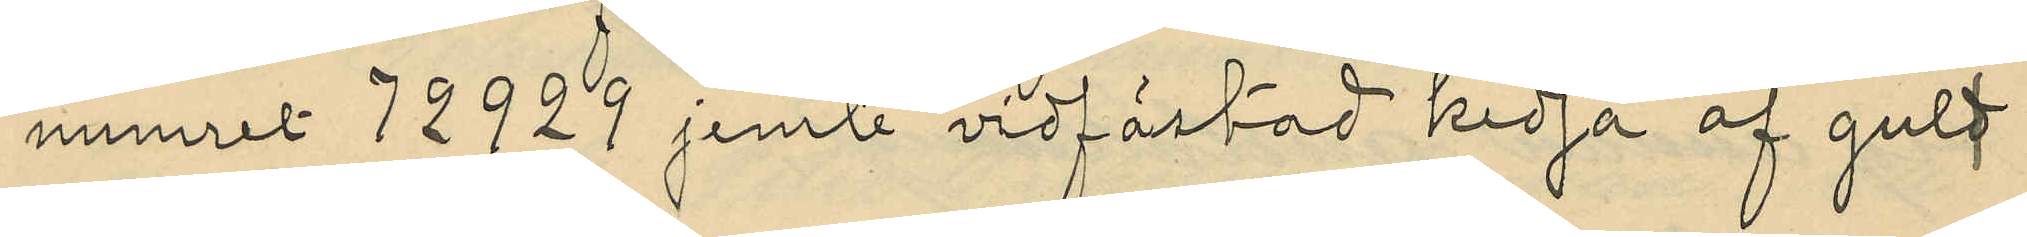numret 72929 jemte vidfästad kedja af guld
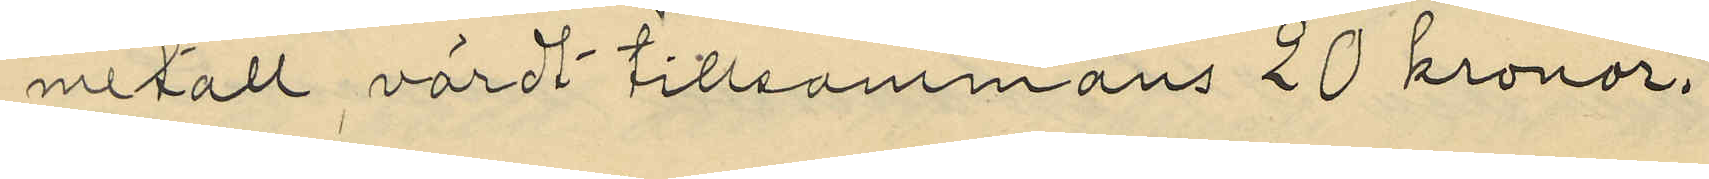metall värdt tillsammans 20 kronor.
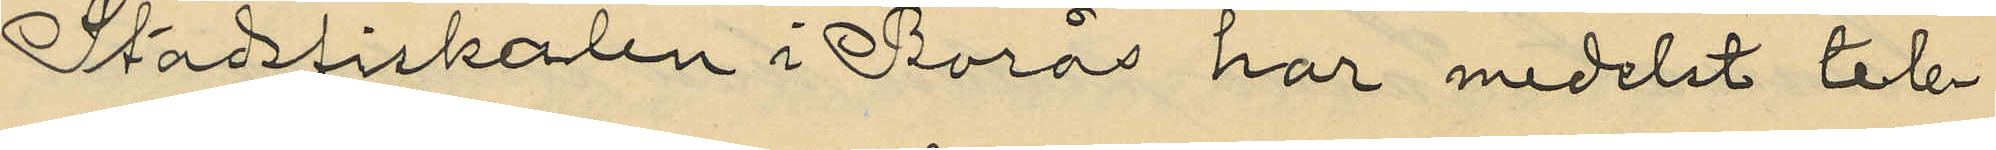Stadsfiskalen i Borås har medelst tele¬
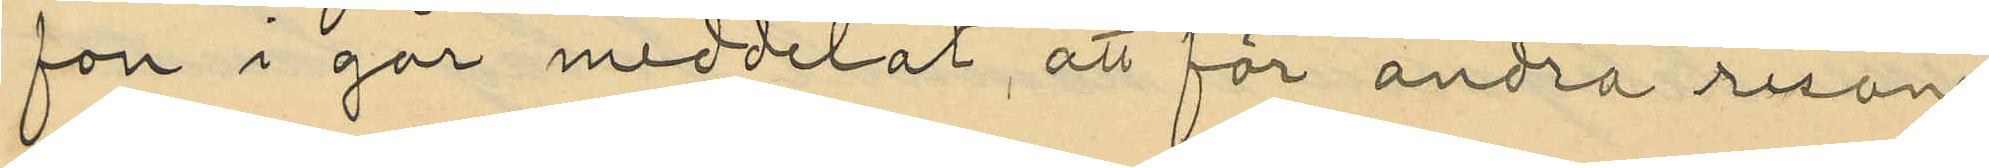fon i går meddelat att för andra resan
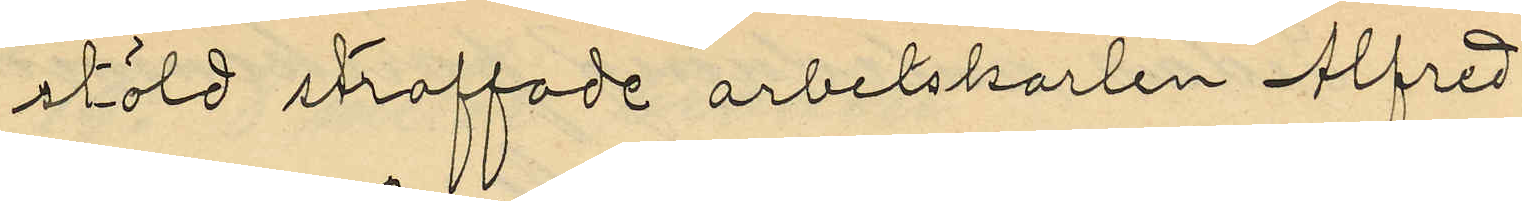stöld straffade arbetskarlen Alfred
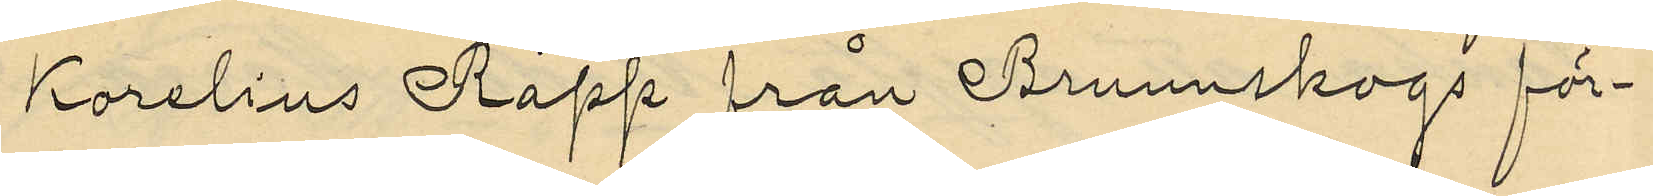Korelius Rapp från Brunnskogs för¬
